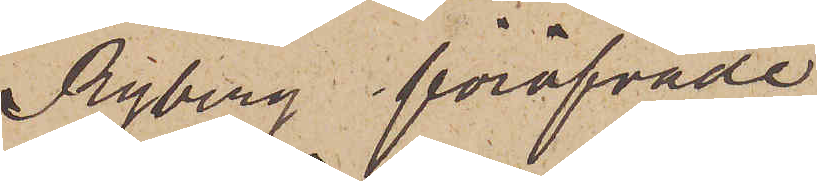Ryberg föröfvade
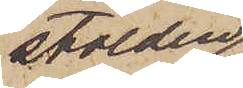stölden
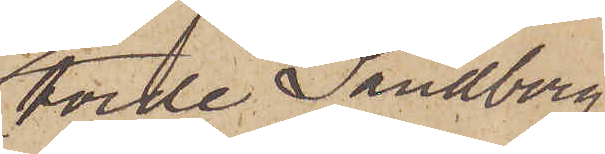torde Sandberg
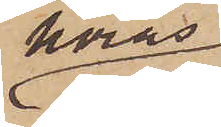höras
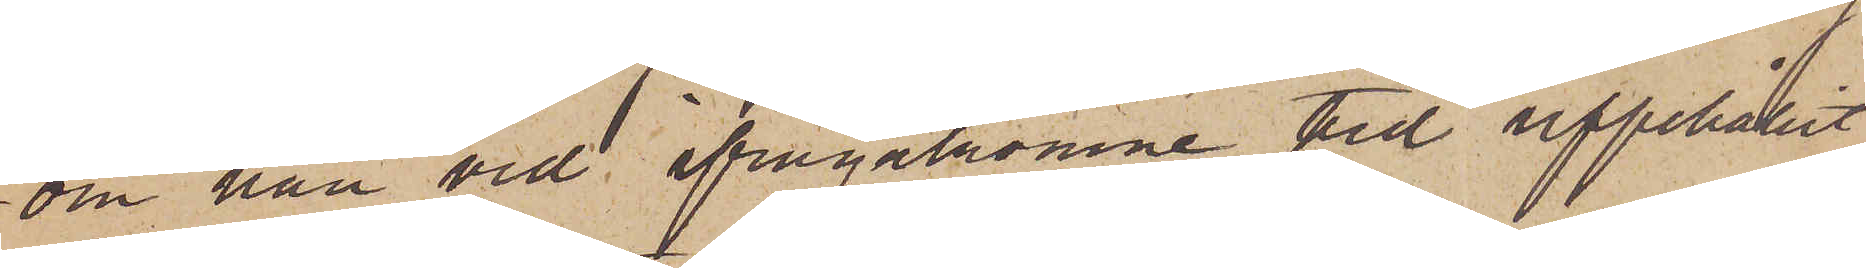om han vid ifrågakomne tid uppehållit
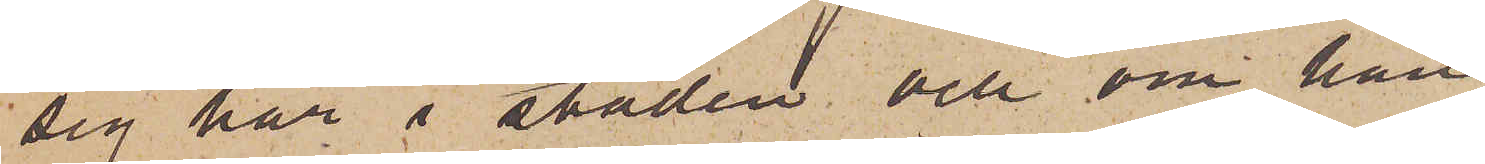sig här i staden och om han
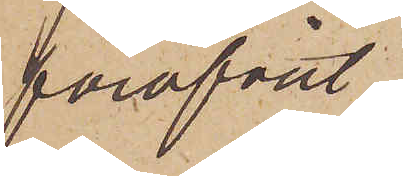föröfvat
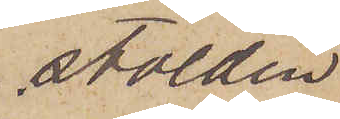stölden
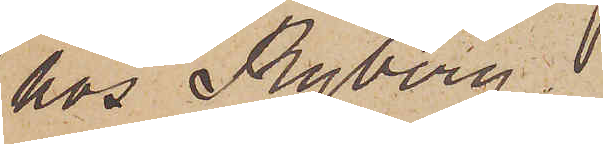hos Ryberg
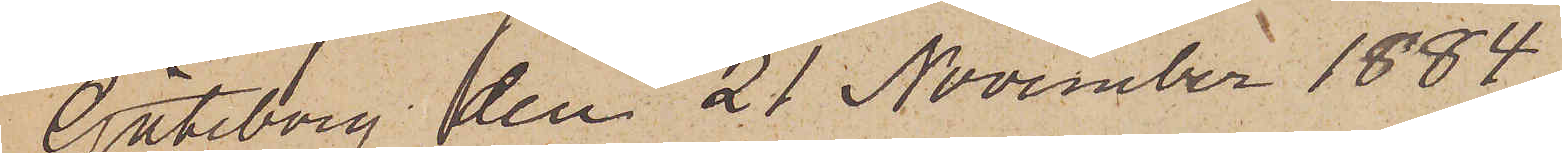Göteborg den 21 November 1884.
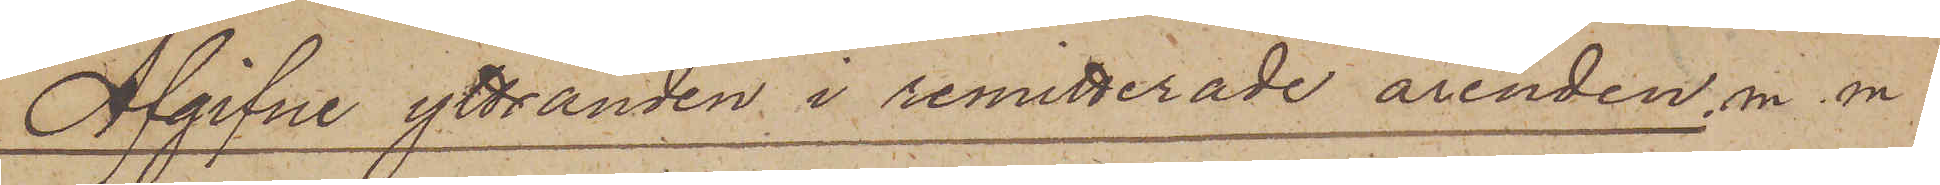Afgifne yttranden i remitterade ärenden, m. m.
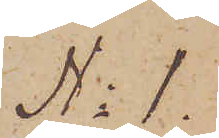No 1.
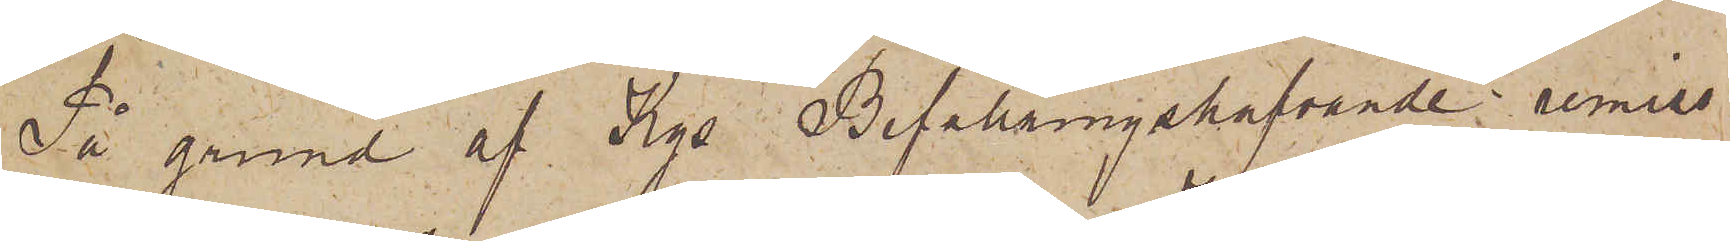På grund af Kgs Befallningshafvande i remiss
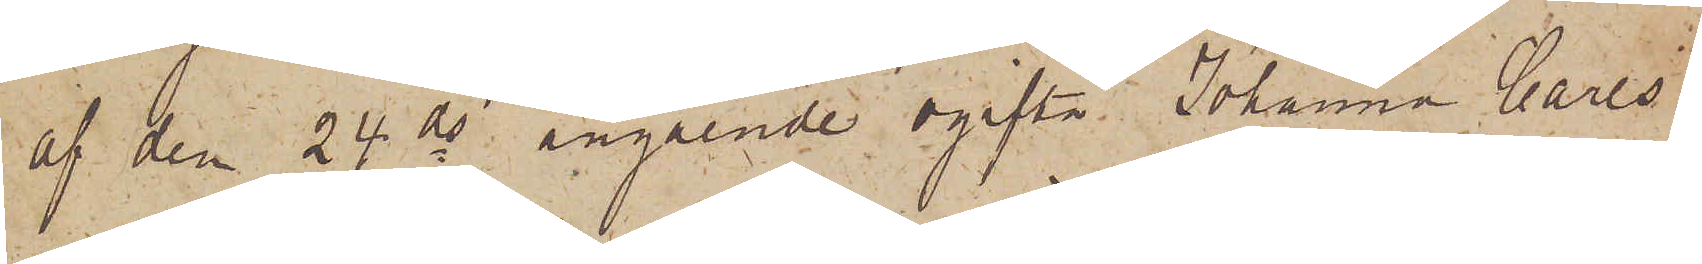af den 24 ds angående ogifta Johanna Carls¬
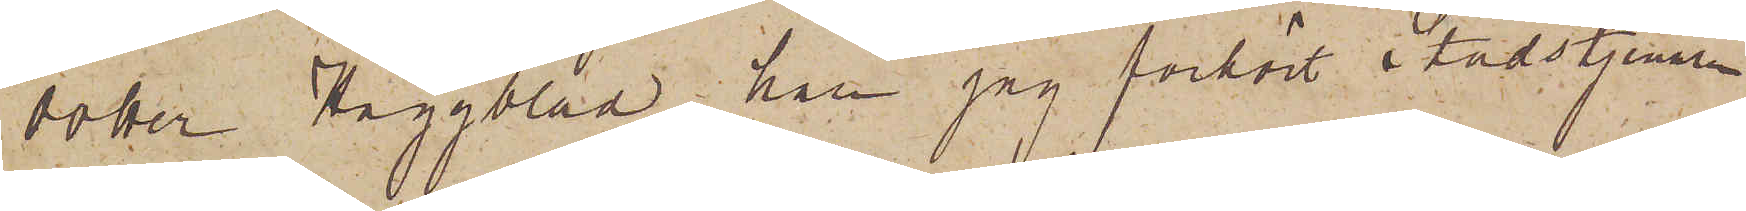dotter Häggblad han jag förhört Stadstjenaren
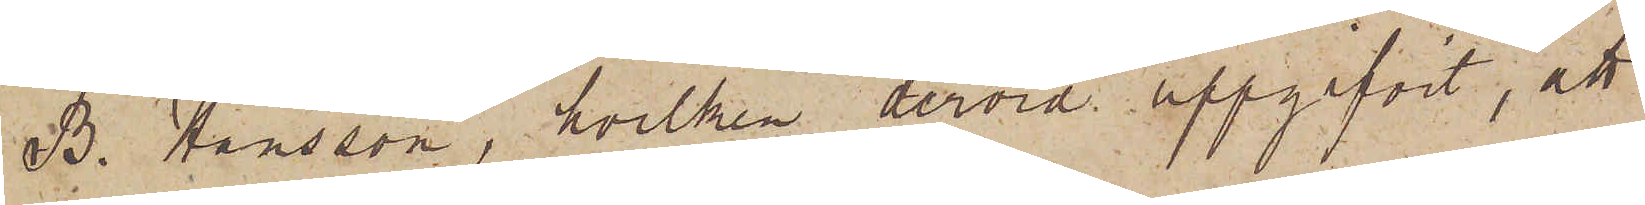B. Hansson, hvilken dervid uppgifvit, att
